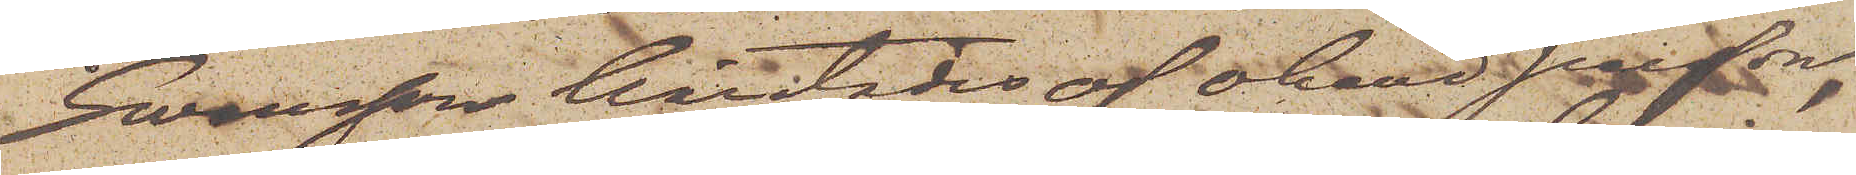Swensson härstädes af okänd person
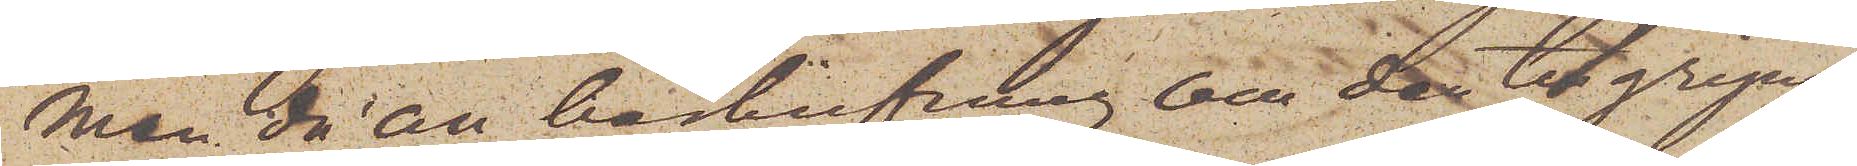men då en beskrifning om den tillgripna
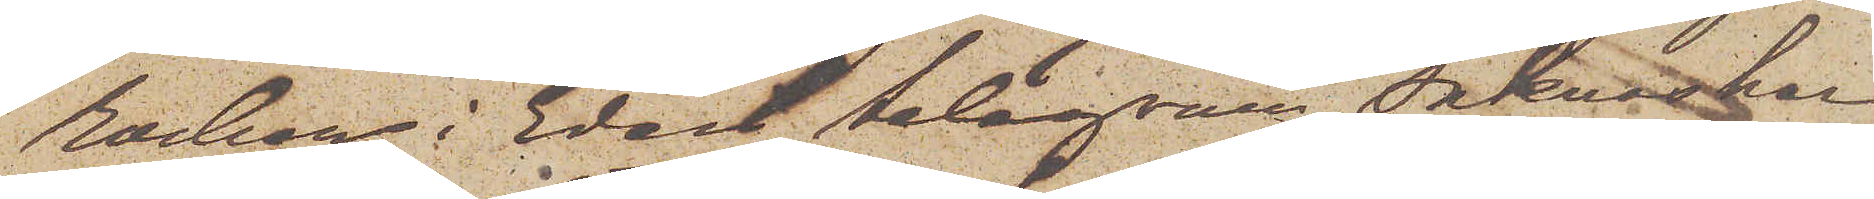rocken i Edert telegram saknas har
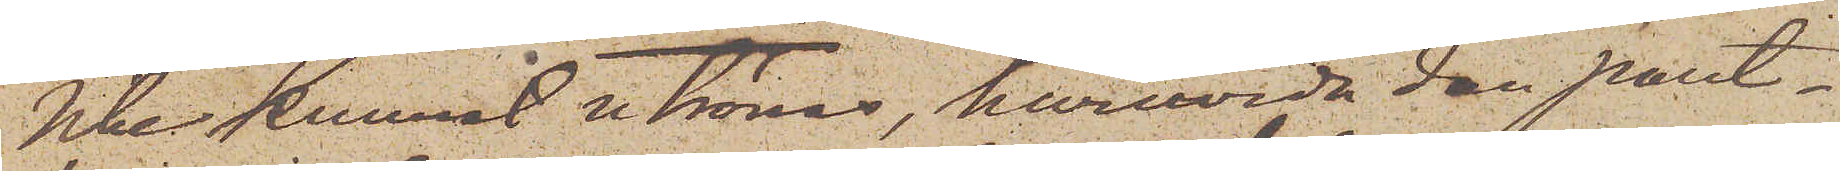icke kunnat utrönas, huruvida den pant¬
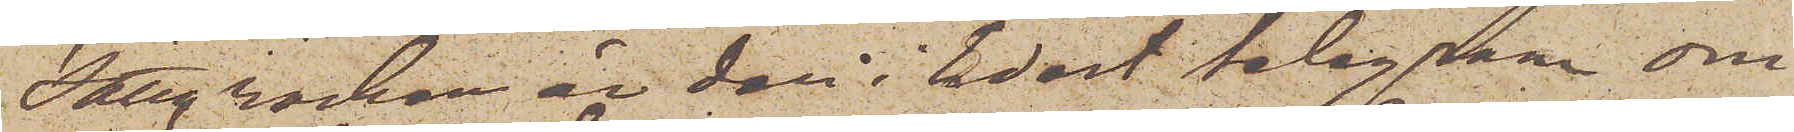satte rocken är den i Edert telegram om¬
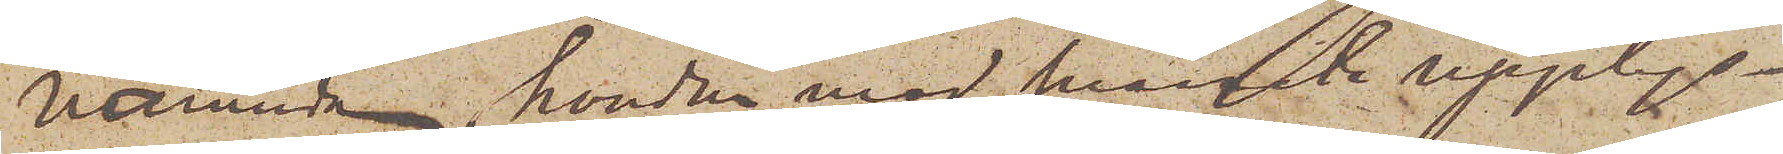nämnde, hvadan med snaraste upplys¬
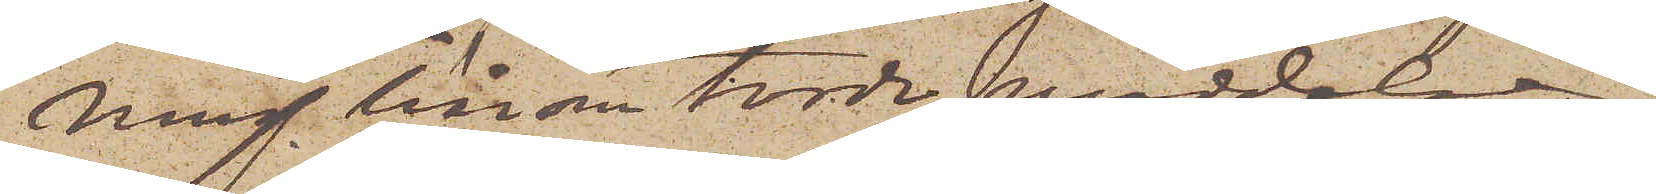ning härom torde meddelas.
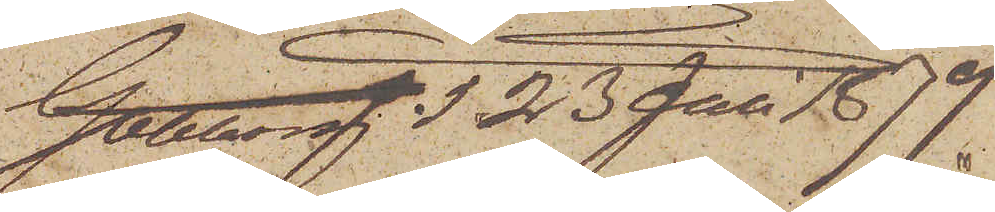Göteborg d. 23 Juli 1879.
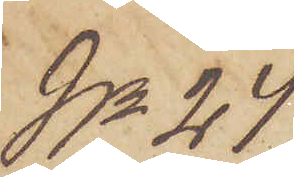No 24
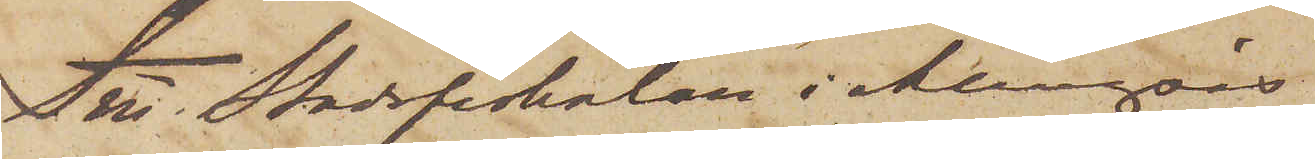Till Stadsfiskalen i Alingsås
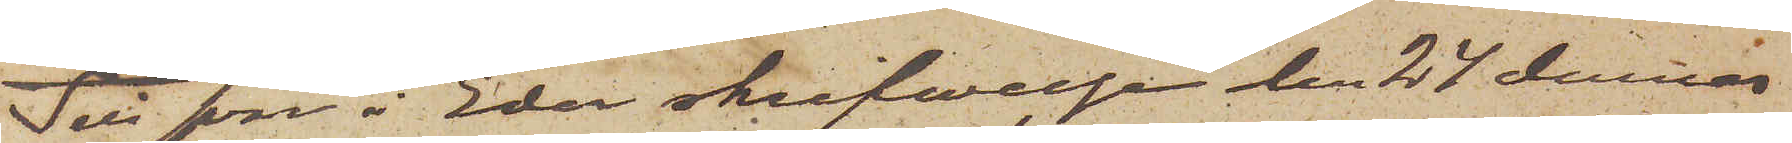Till svar å Eder skrifvelse den 24 dennes
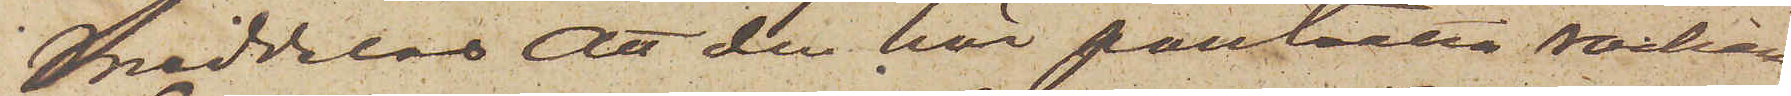meddelas att den här pantsatta rocken
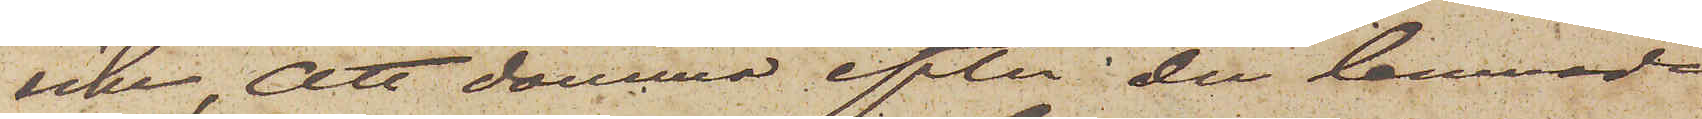icke, att dömma efter den lemnade
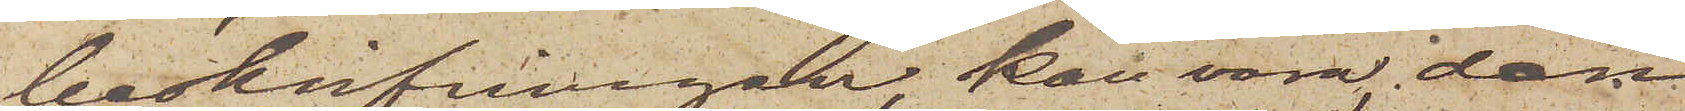beskrifvnningen, kan vara den
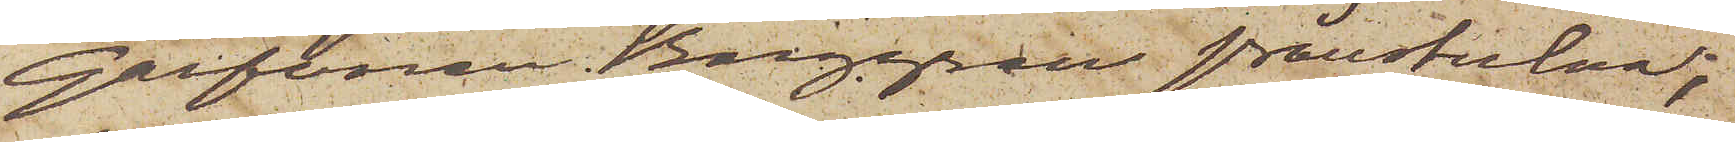Garfvaren Berggren frånstulna;
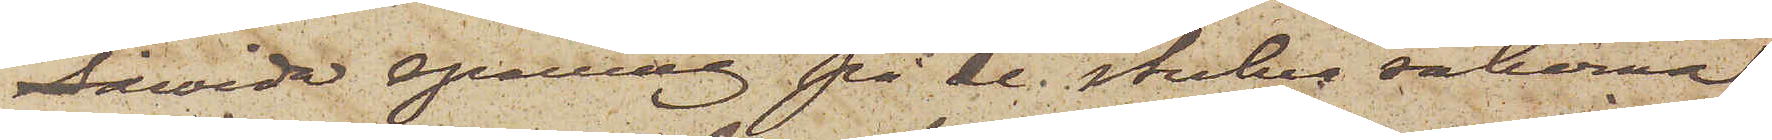såwida spaning på de stulna sakerna
